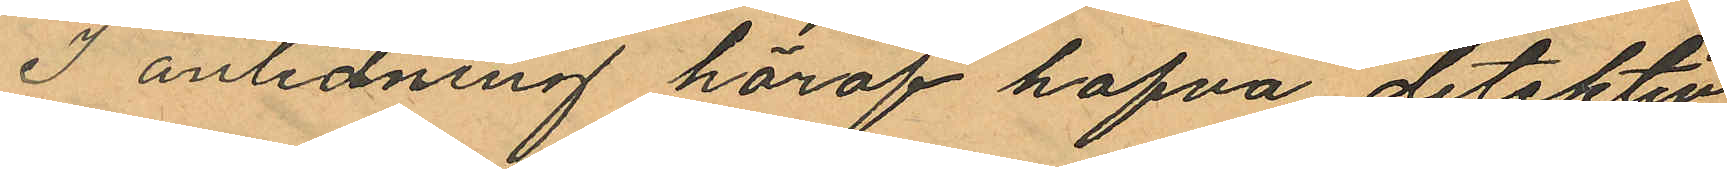I anledning häraf hafva detektiv¬
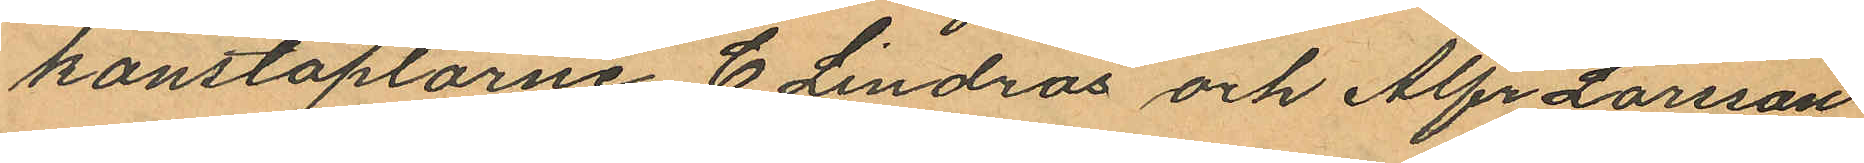konstaplarne C. Lindros och Alfr Larsson
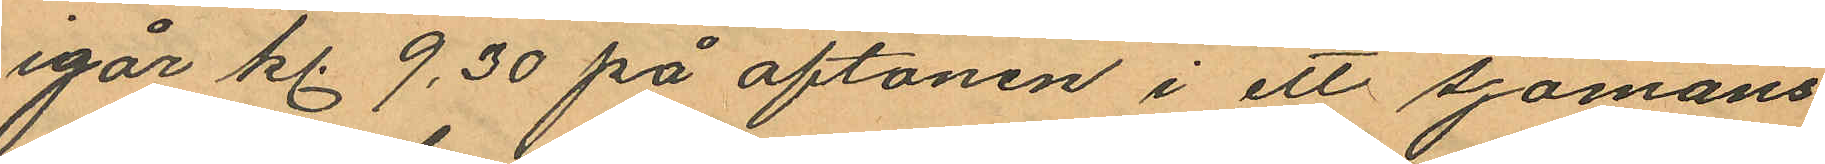igår kl. 9.30 på aftonen i ett sjömans
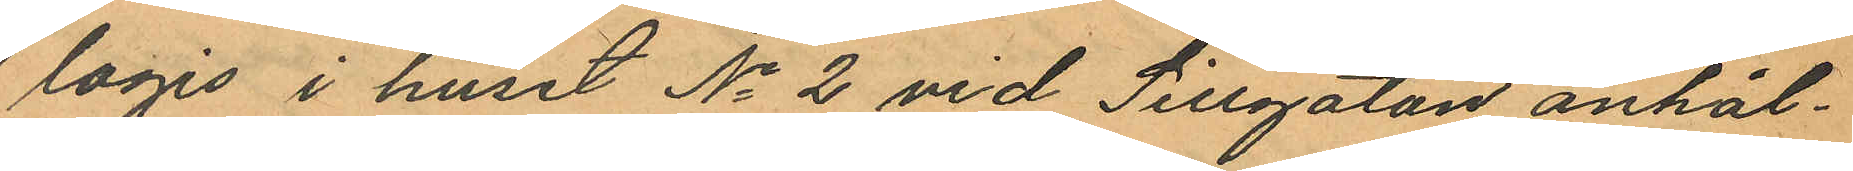logis i huset No 2 vid Sillgatan anhål¬
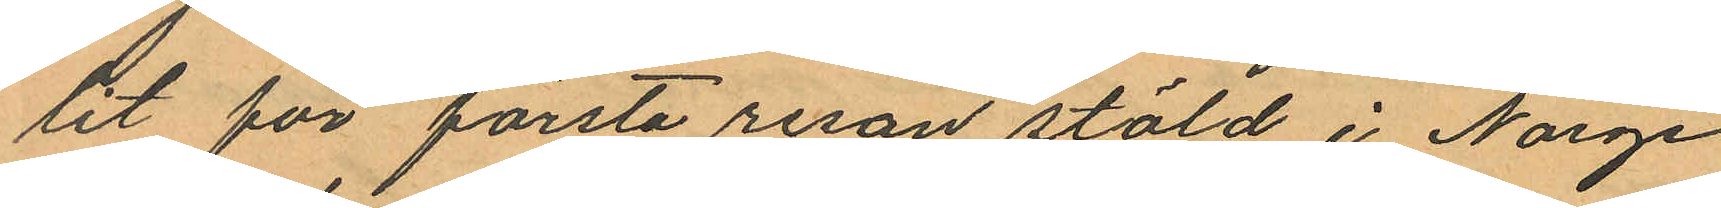lit för första resan stöld i Norge
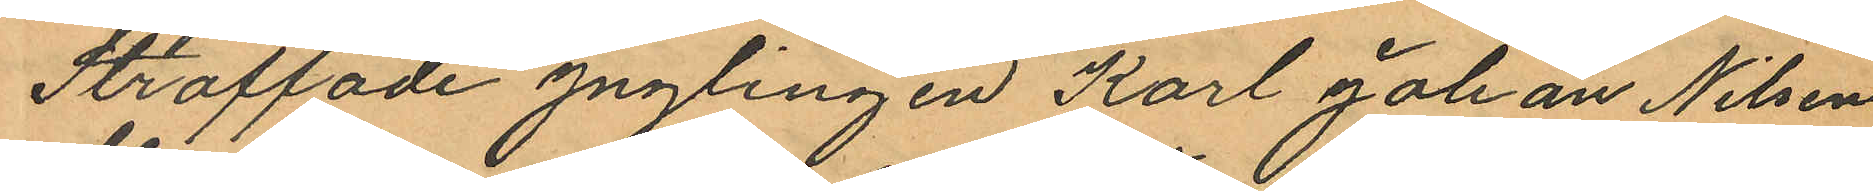straffade ynglingen Karl Johan Nilsen
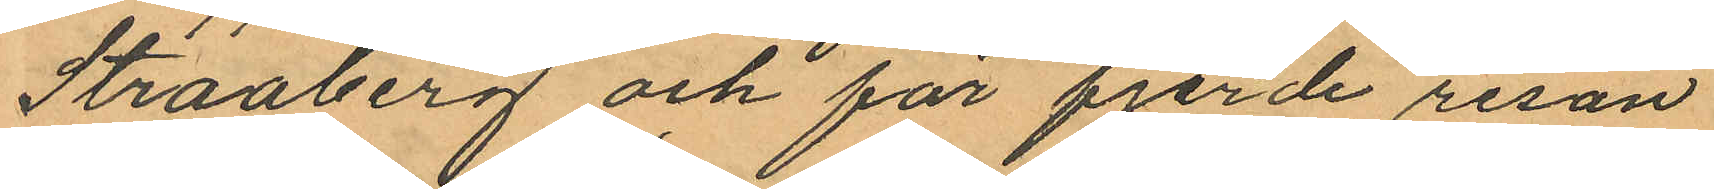Straaberg och för fjerde resan
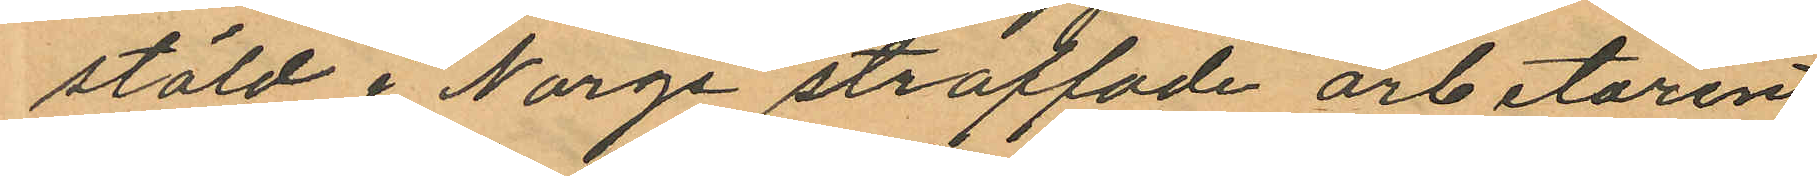stöld i Norge straffade arbetaren
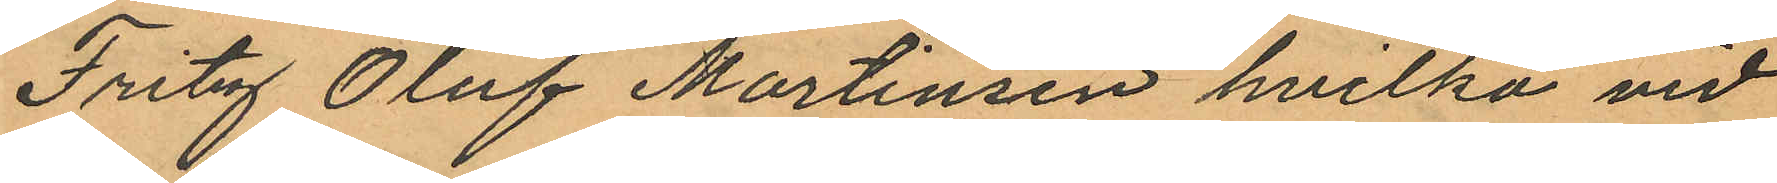Fritzf Oluf Martinsen hvilka vid
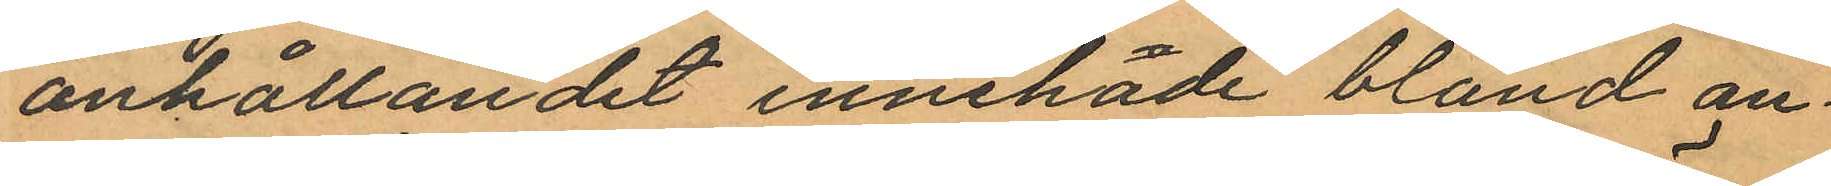anhållandet innehade bland an¬
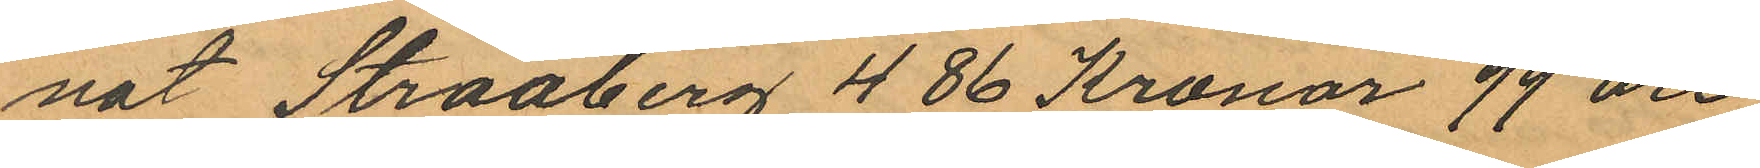nat Straaberg 486 Kronor 99 öre
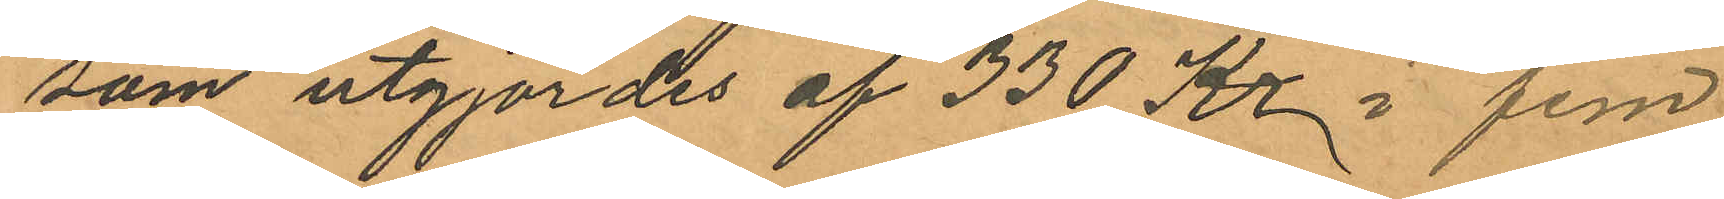som utgjordes af 330 Kr i fem
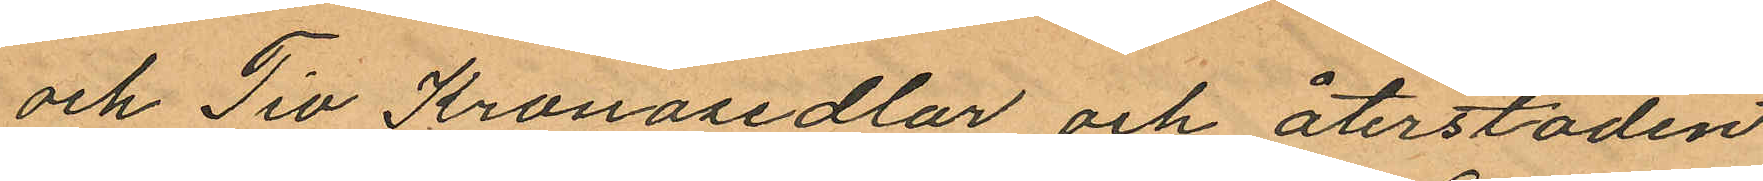och Tio Kronosedlar och återstoden
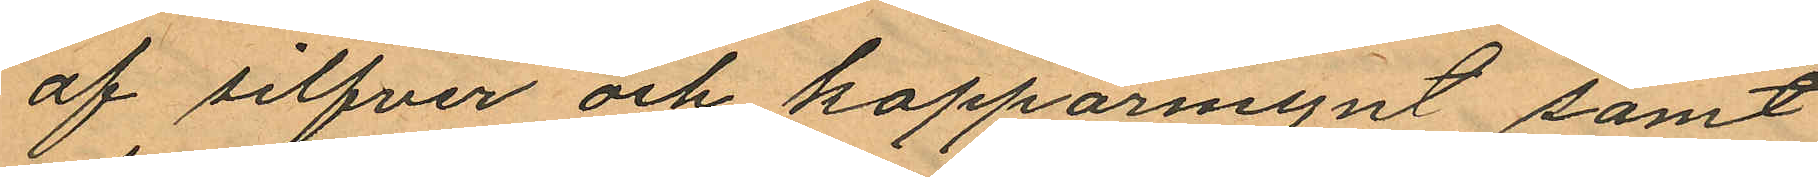af silfver och kopparmynt samt
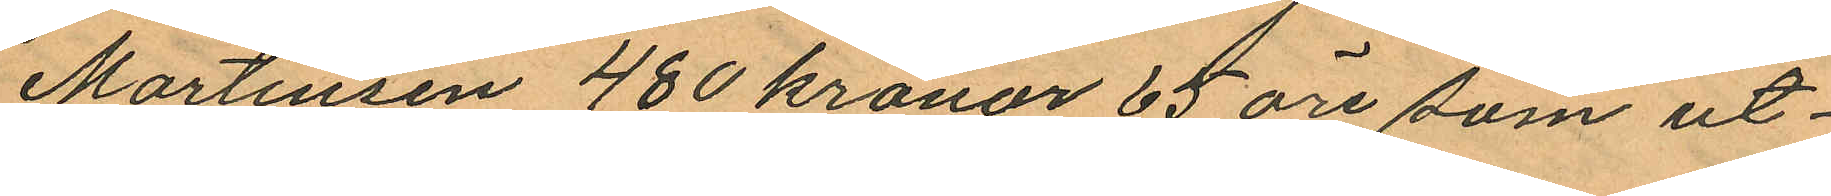Martinsen 480 kronor 65 öre som ut¬
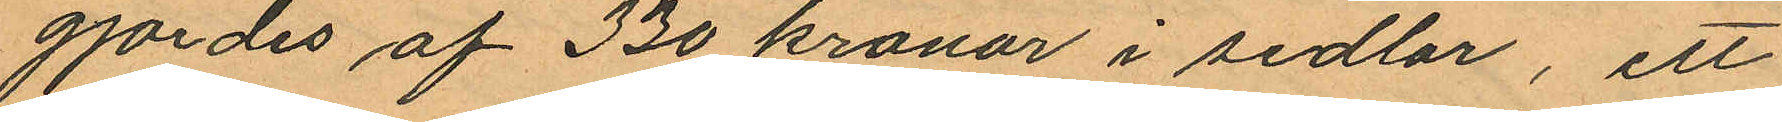gjordes af 330 kronor i sedlar, ett
